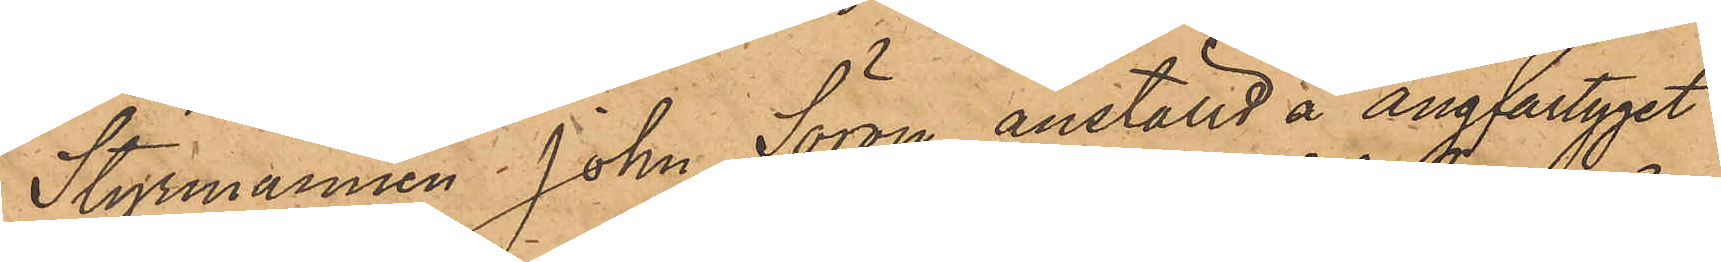Styrmannen Johan Söron anställd å ångfartyget
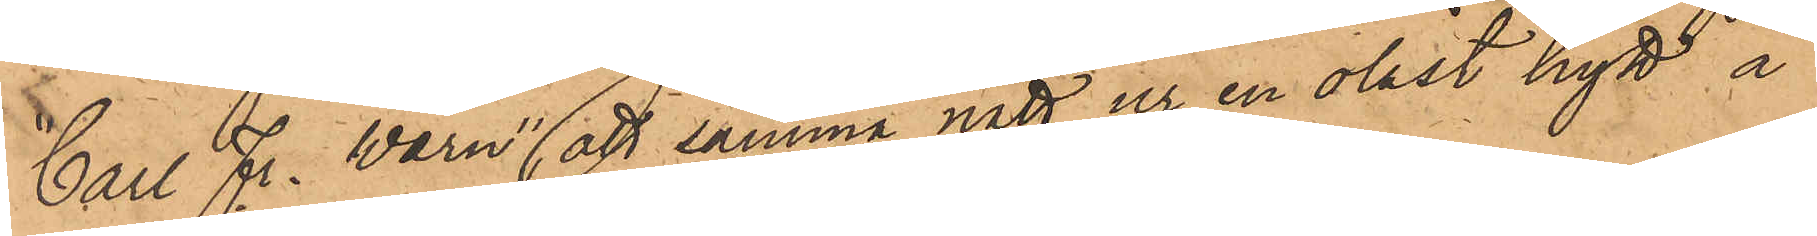"Carl Fr. Warn", att samma natt ur en olåst hytt å
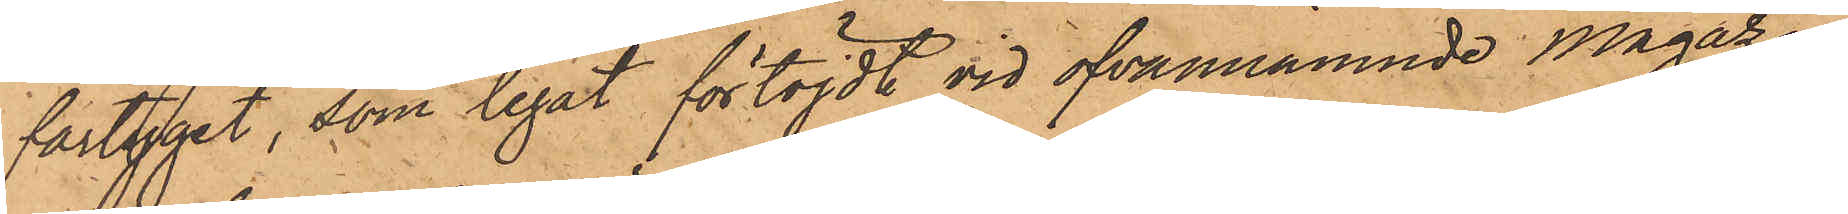fartyget, som legat förtöjdt vid ofvannämnde Magazin
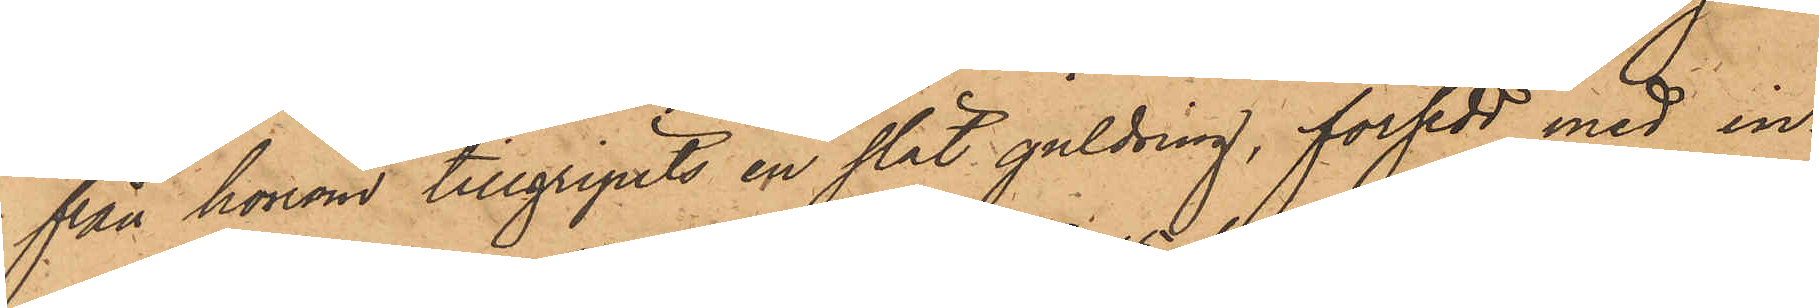från honom tillgripits en slät guldring, försedd med in¬
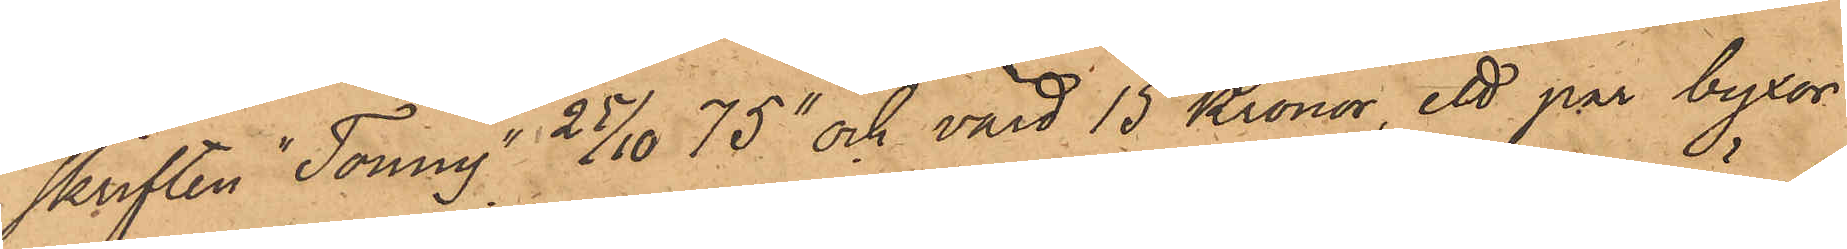skriften "Tonny 25/10  75" och värd 15 Kronor, ett par byxor
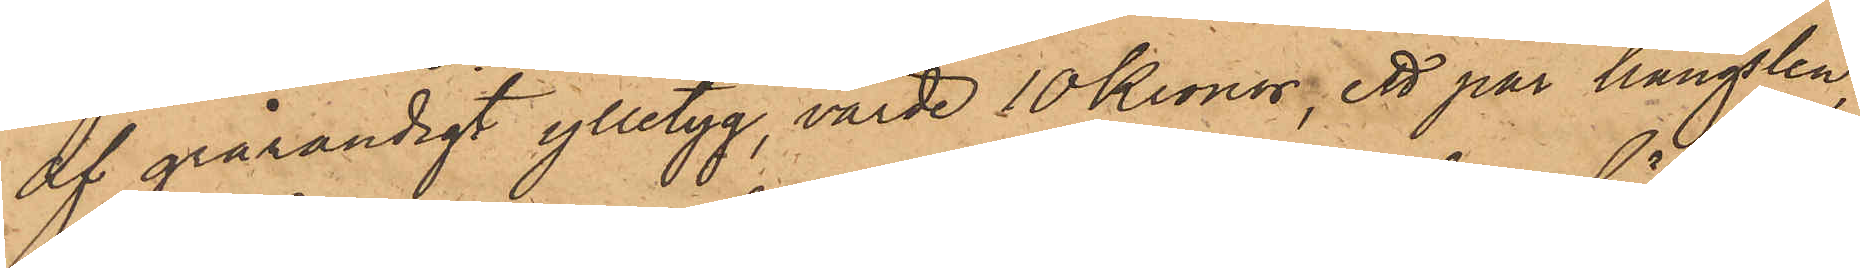af grårandigt ylletyg, värde 10 Kronor, ett par hängslen,
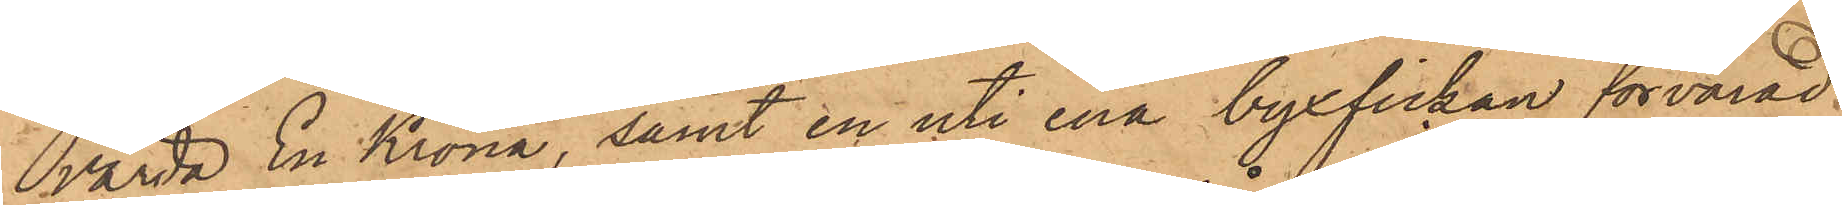värda En Krona, samt en uti ena byxfickan förvarad
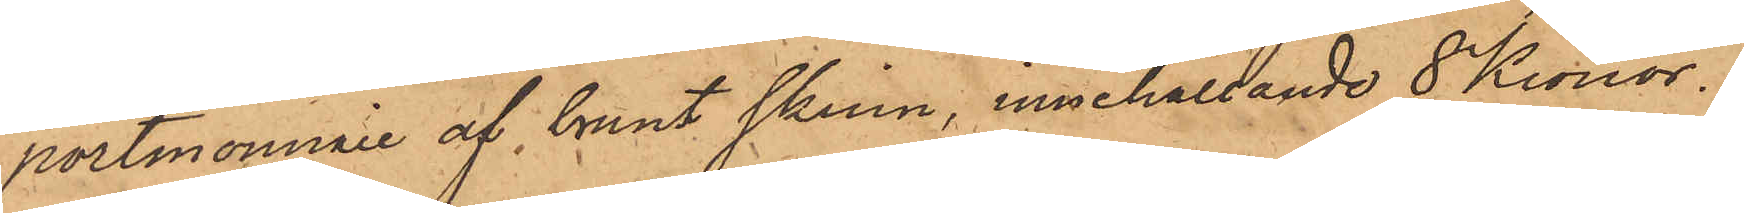portmonnaie af brunt skinn, innehållande 8 Kronor.
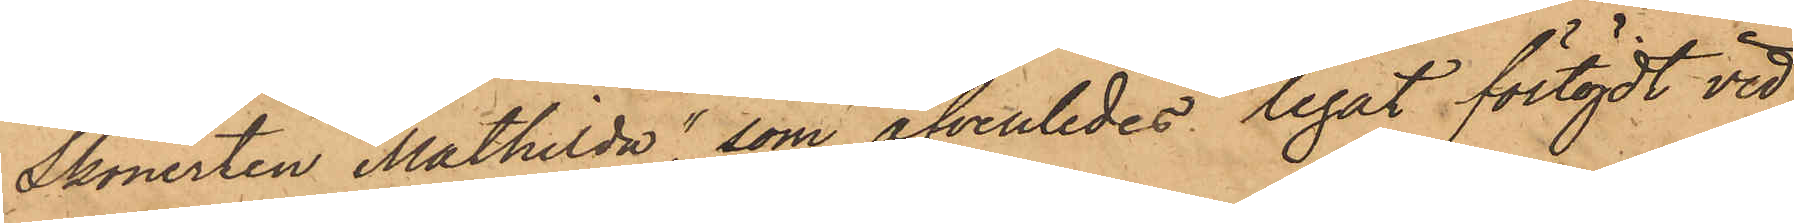Skonerten "Mathilda", som äfvenledes legat förtöjdt vid
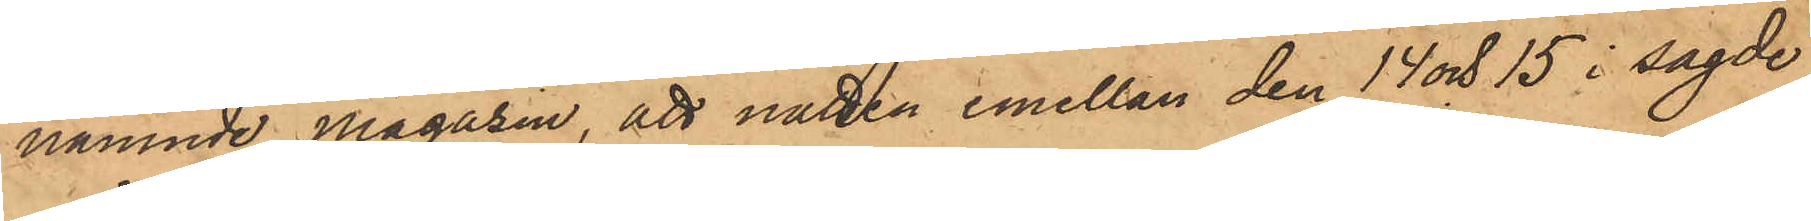nämnde Magasin, att natten emellan den 14 och 15 i sagde
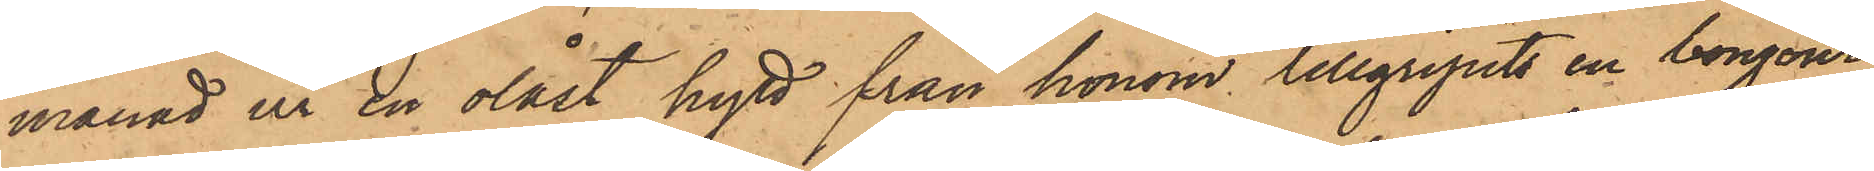månad ur en olåst hytt från honom tillgripits en bonjour
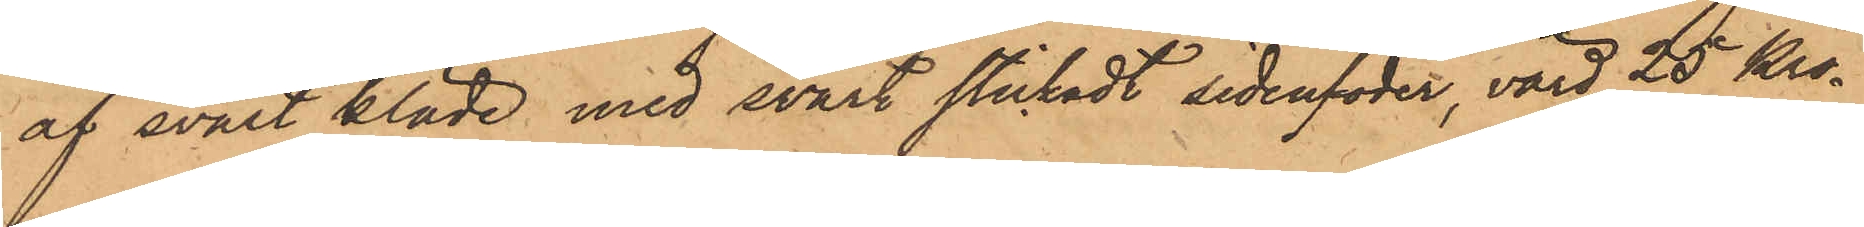af svart kläde med svart stickadt sidenfoder, värd 25 Kro¬
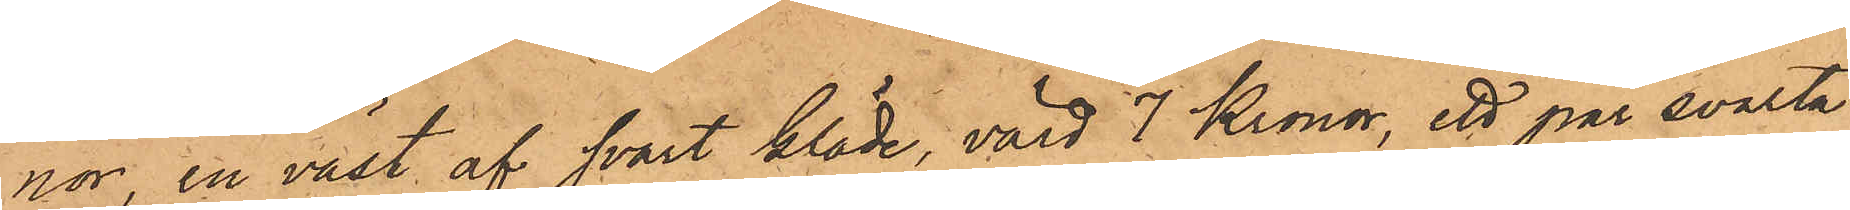nor, en väst af svart kläde, värd 7 Kronor, ett par svarta
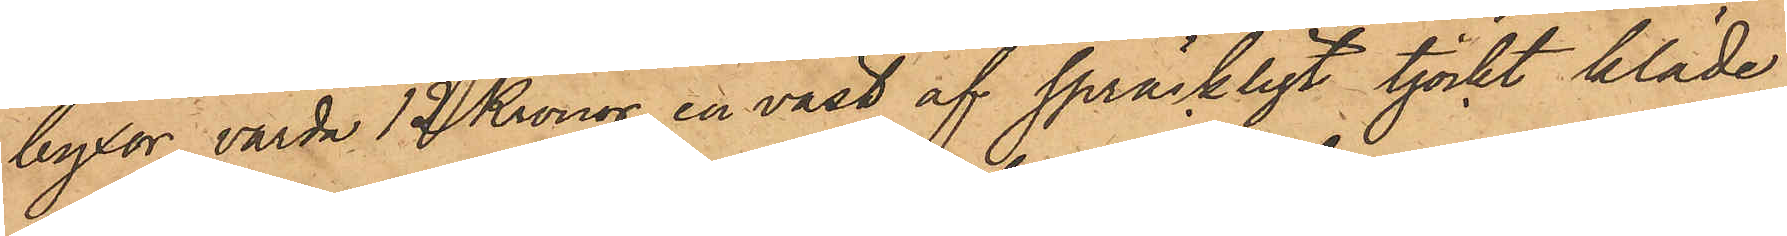byxor, värda 12 Kronor, en väst af spräckligt tjockt kläde,
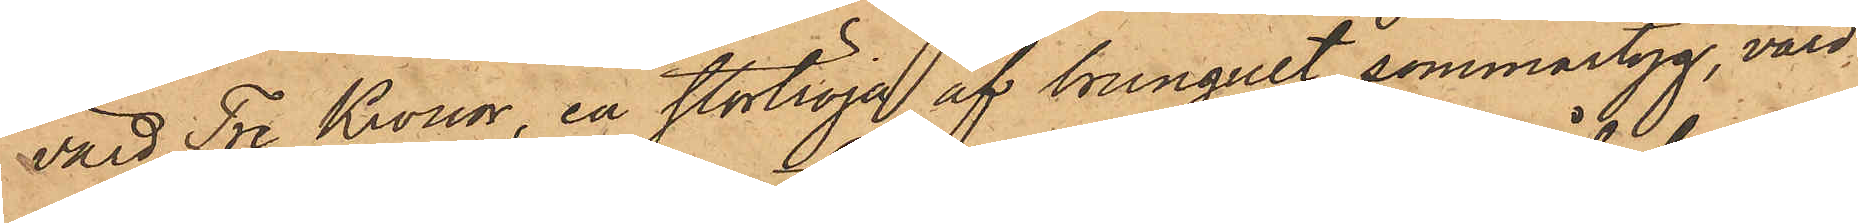värd Tre Kronor, en stortröja af brungult sommartyg, värd
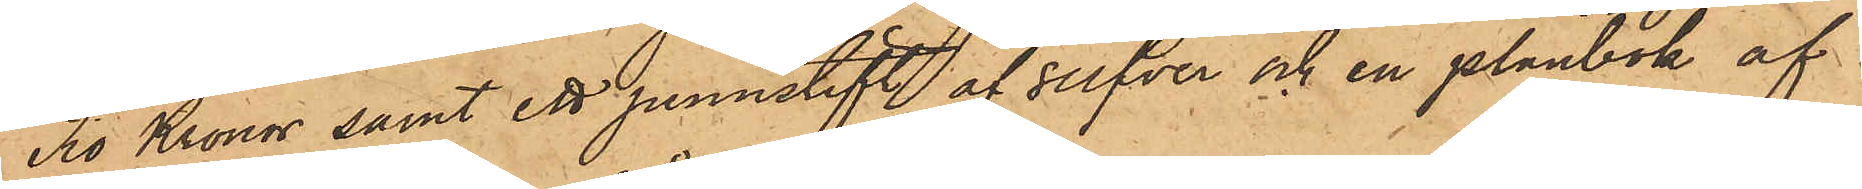Tio Kronor samt ett pennstift af silfver och en plånbok af
